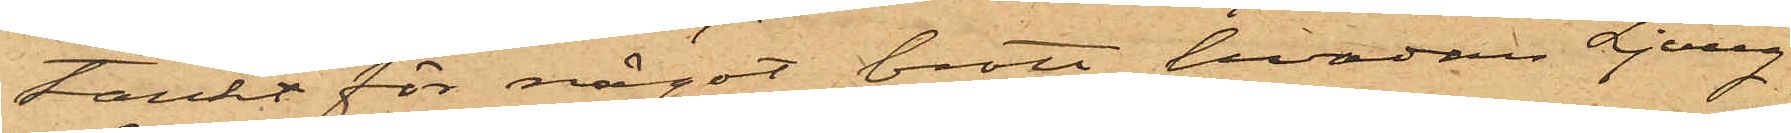tänkt för något brott, hvadan Ljung
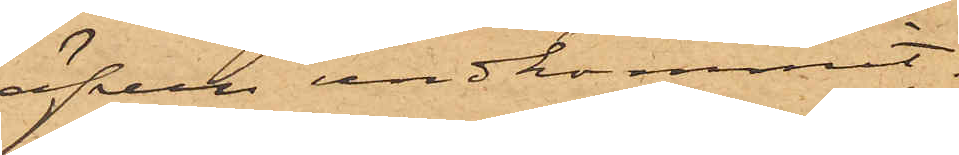äfven undkommit.
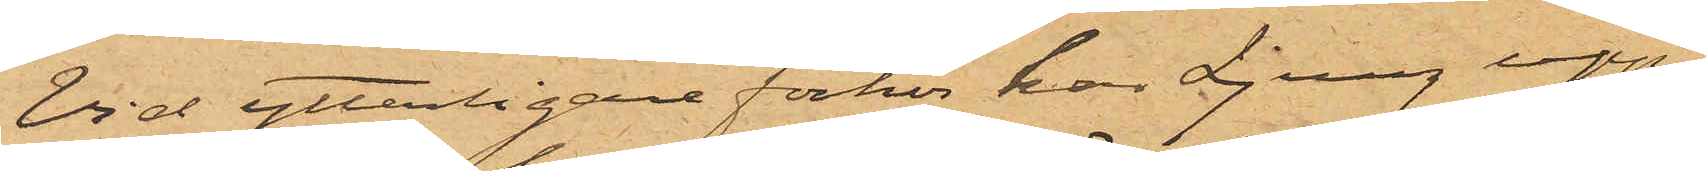Vid ytterligare förhör har Ljung upp¬
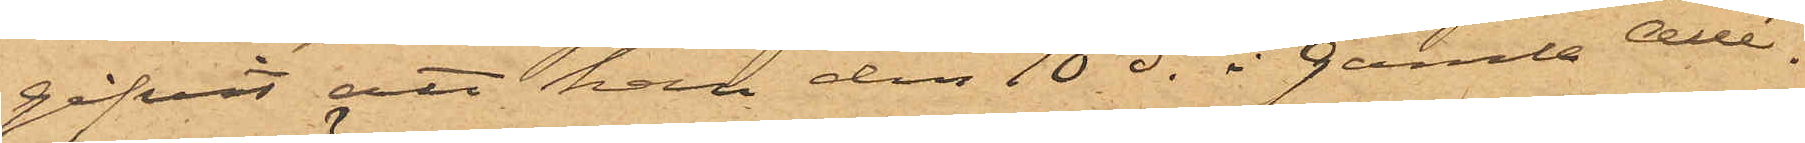gifvit att han den 10 ds i Gamla Allé¬
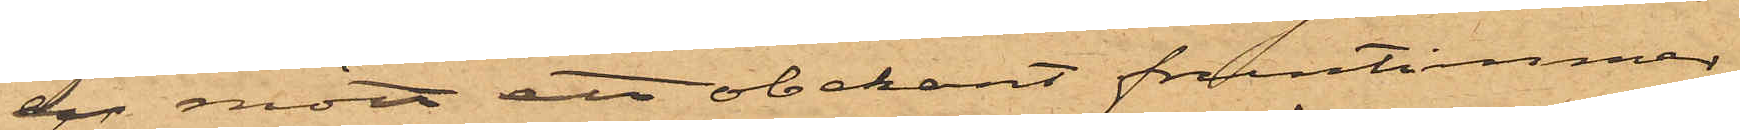en mött ett obekant fruntimmer,
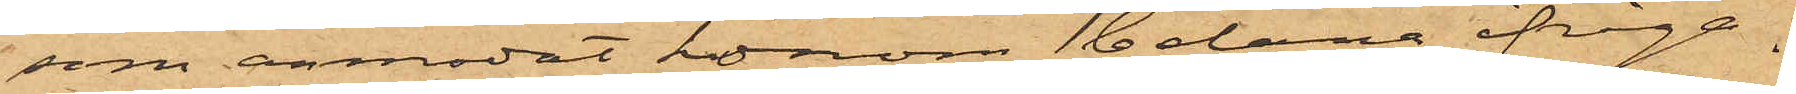som anmodat honom belåna ifråga¬
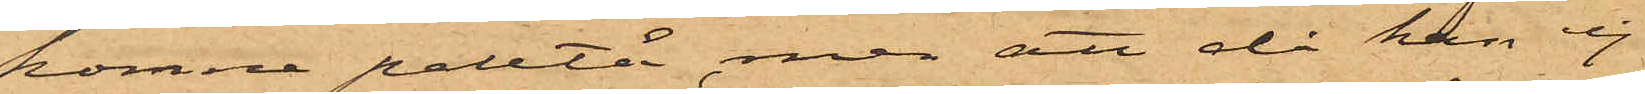komne paletå, men att då han ej
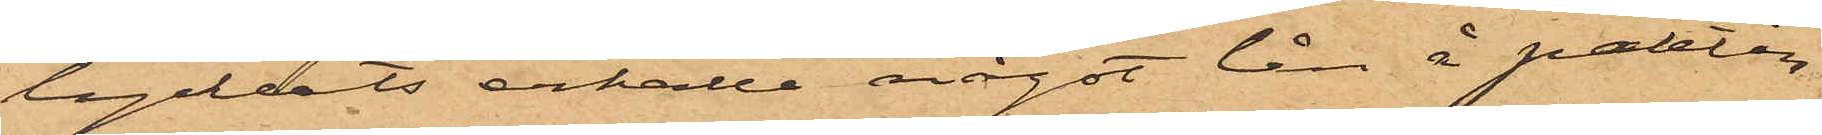lyckats erhålla något lån å paletån
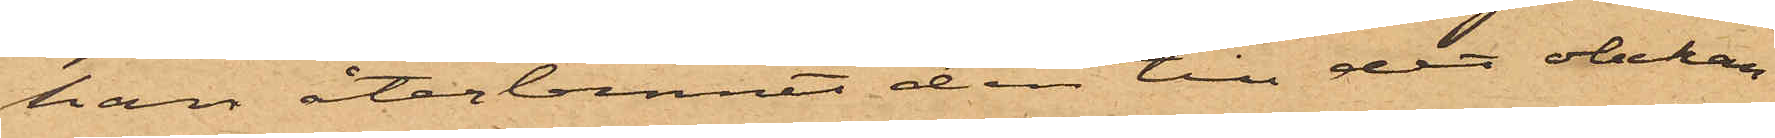han återlemnat den till det obekan¬
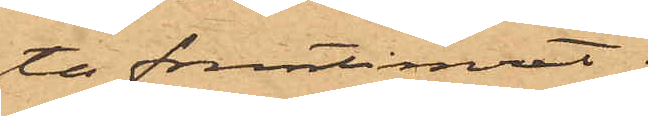ta fruntimret.
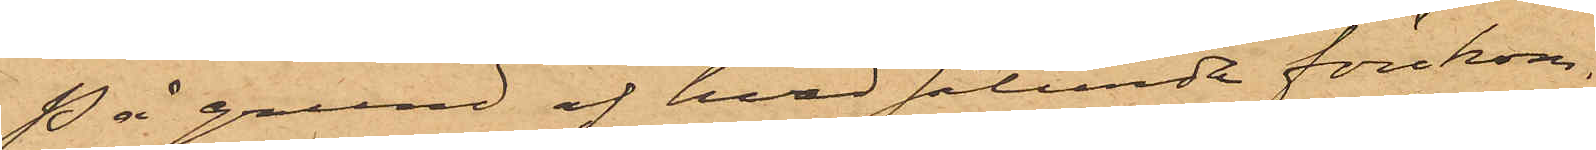På grund af hvad sålunda förekom¬
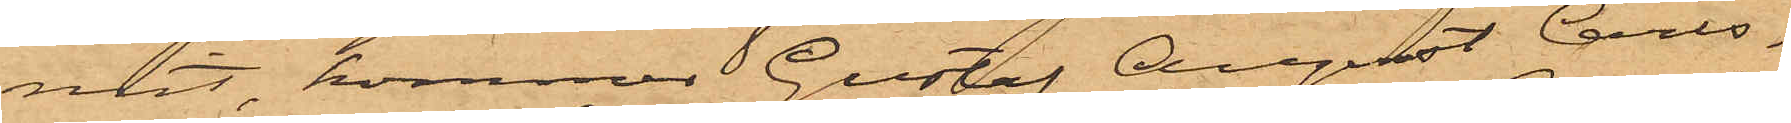mit, kommer Gustaf August Carls¬
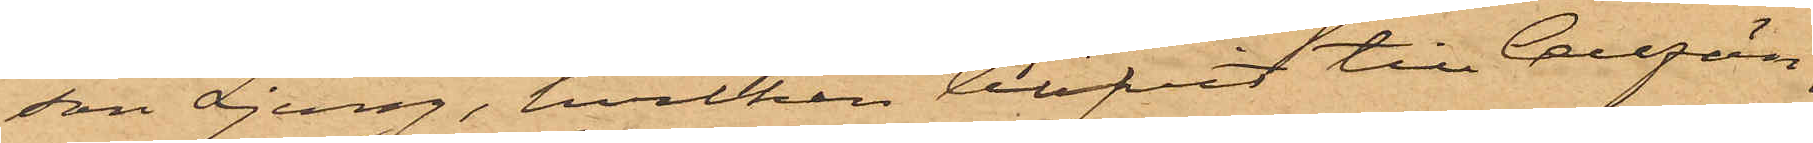son Ljung, hvilken blifvit till Cellfän¬
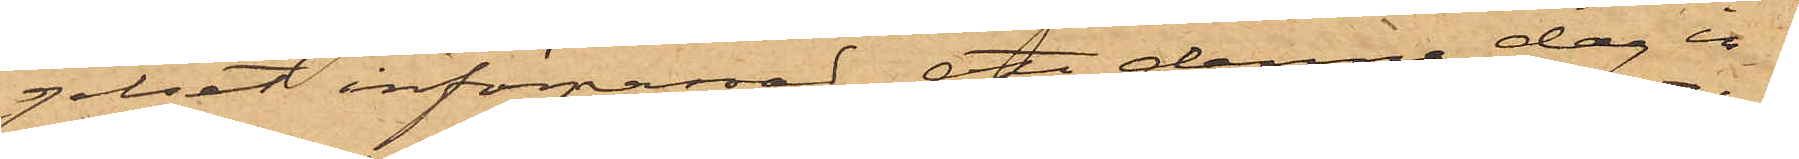gelset införpassad, att denna dag in¬
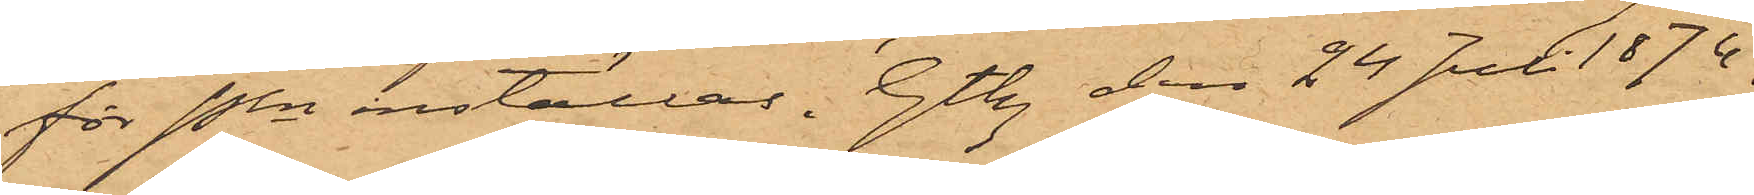för Pkn inställas. Gtbg den 24 Juli 1874.
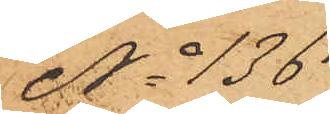No 136.
